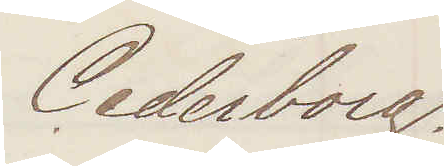Cederborg.
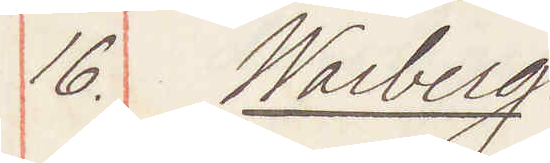16. Warberg:
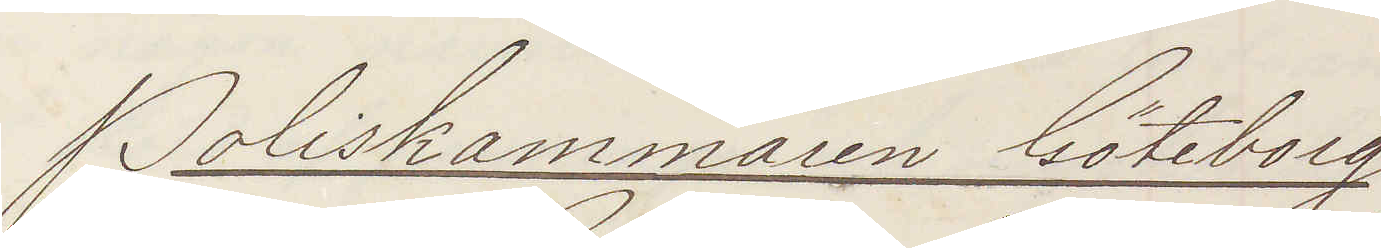Poliskammaren Göteborg
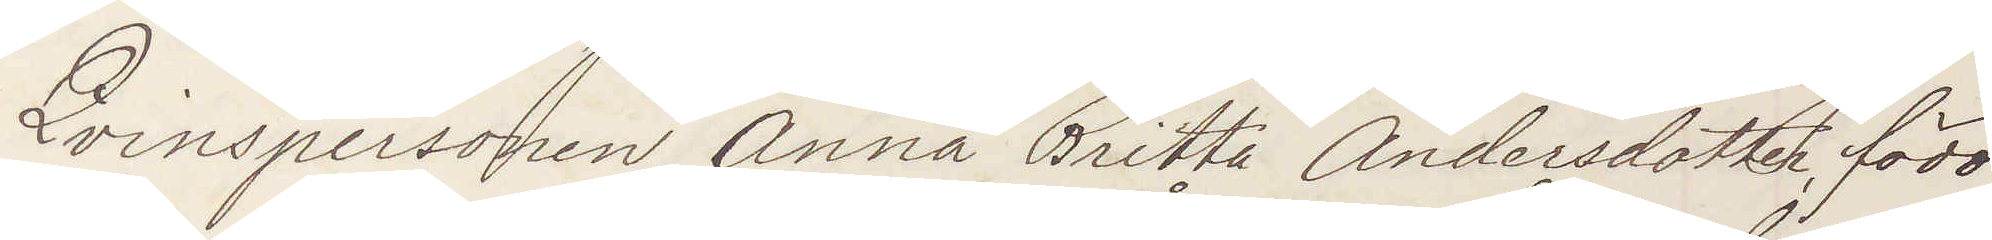Qvinspersonen Anna Britta Andersdotter född
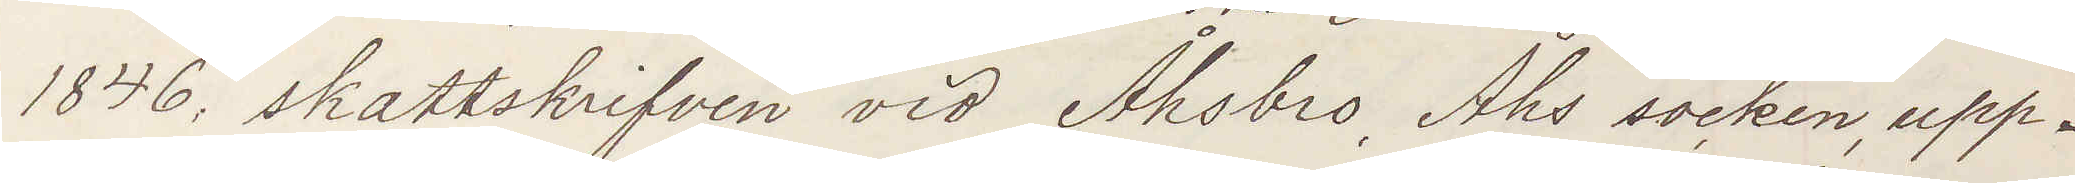1846, skattskrifven vid Åhsbro, Åhs socken, upp¬
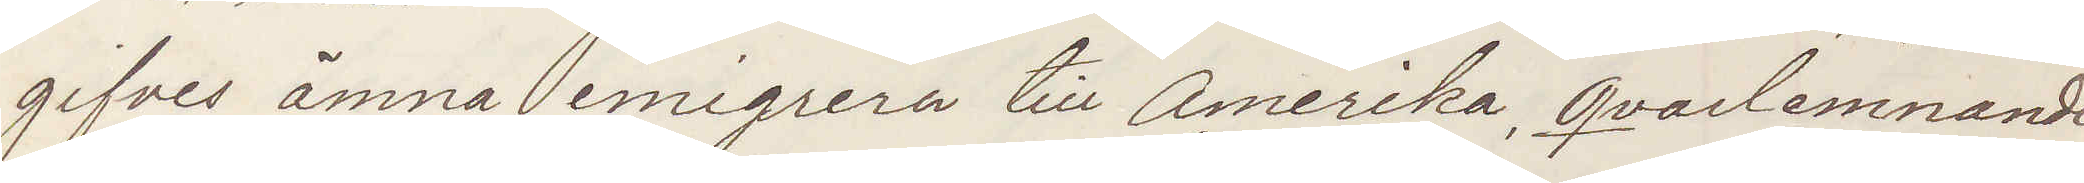gifves ämna emigrera till Amerika, qvarlemnande
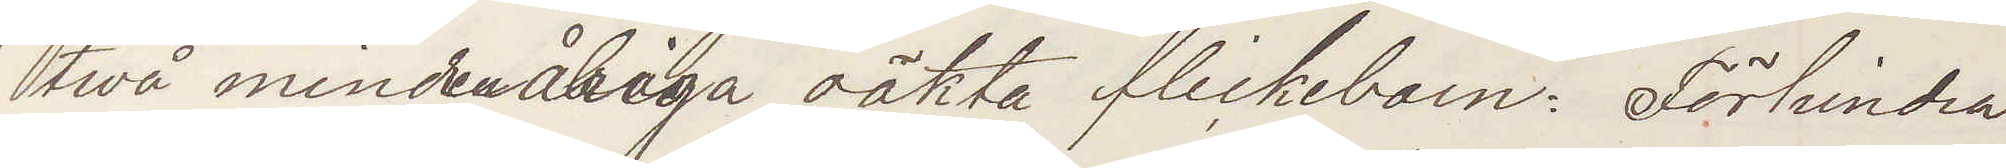twå minderåriga oäkta flickebarn: Förhindra
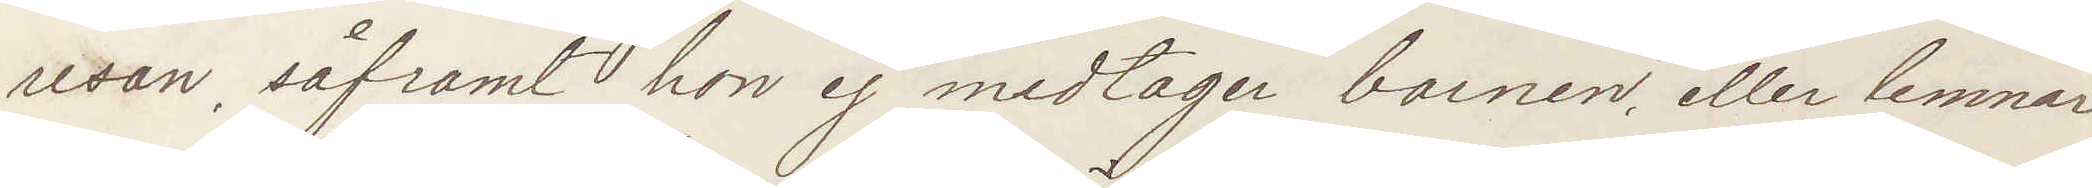resan, såframt hon ej medtager barnen, eller lemnar
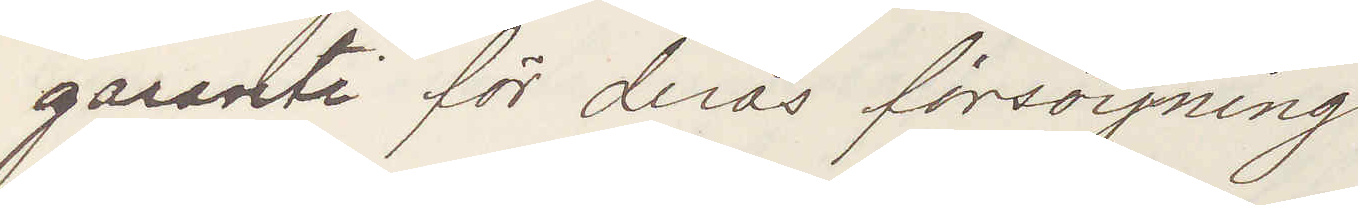garanti för deras försörjning.
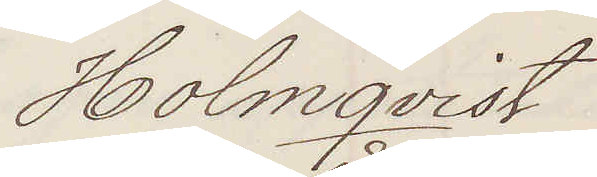Holmqvist
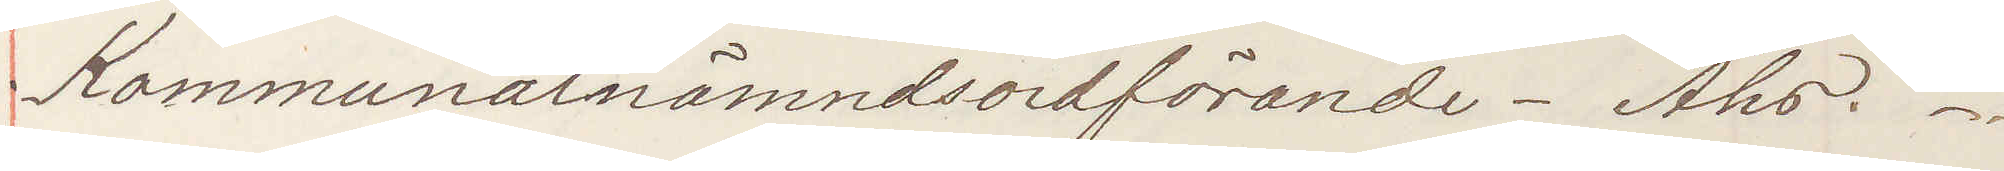Kommunalnämndsordförande - Åhs.
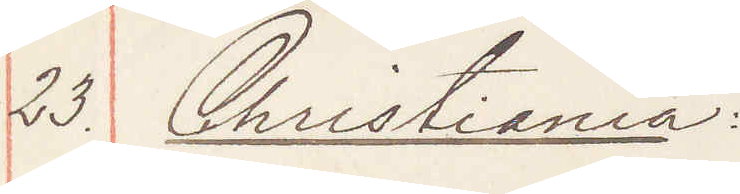23. Christiania:
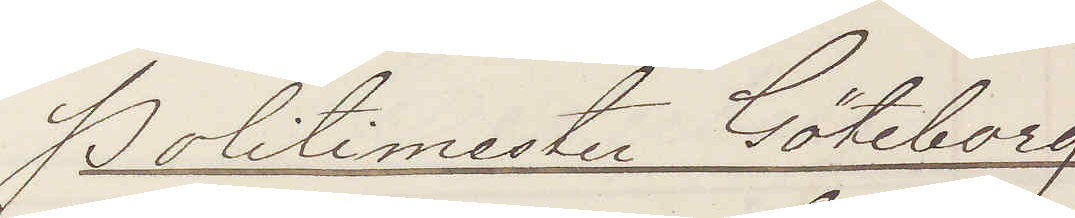Politimester Göteborg
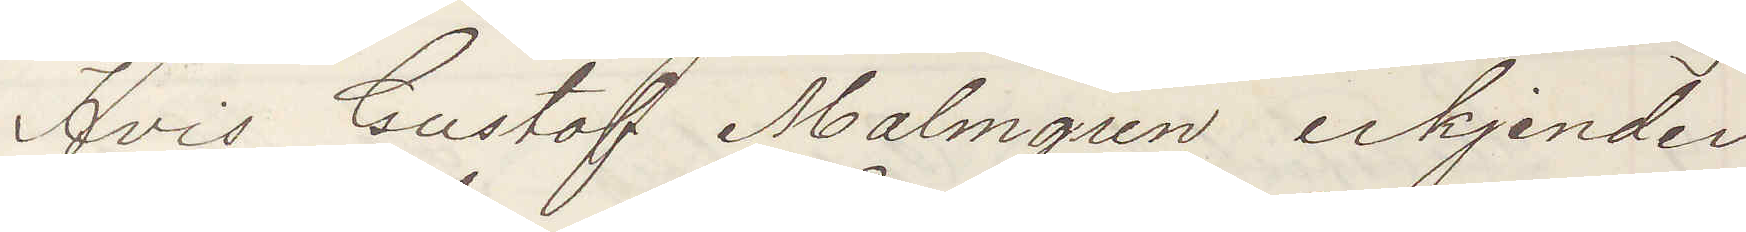Hvis Gustaf Malmgren erkjender
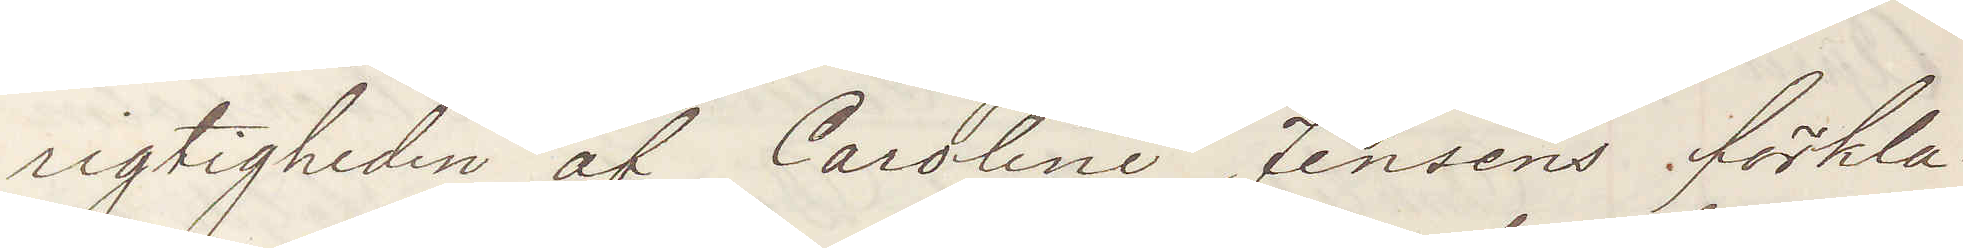rigtigheden af Caroline Jensens förkla¬
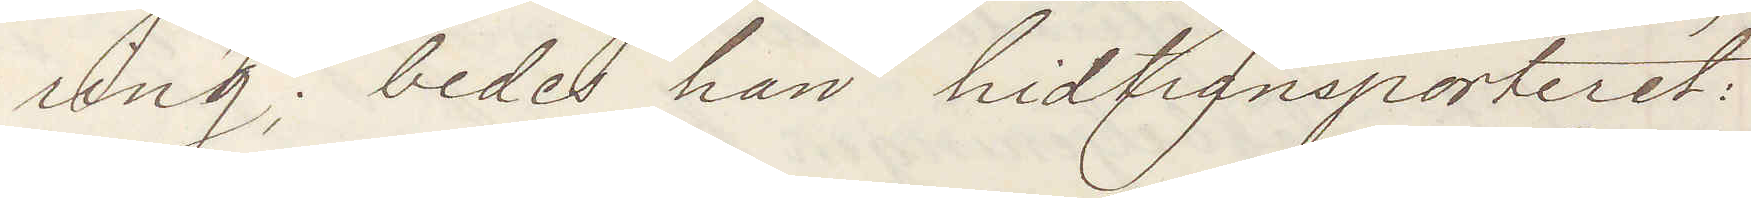ring; bedes han hidtransporteret:
